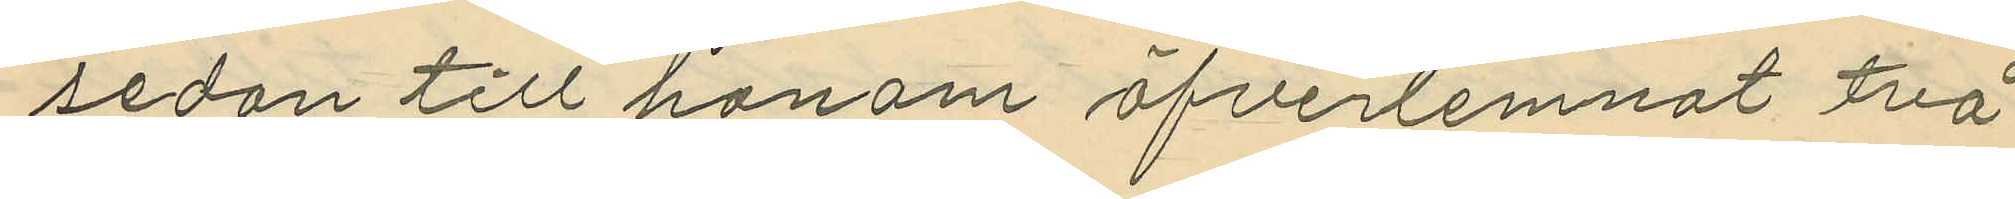sedan till honom öfverlemnat två
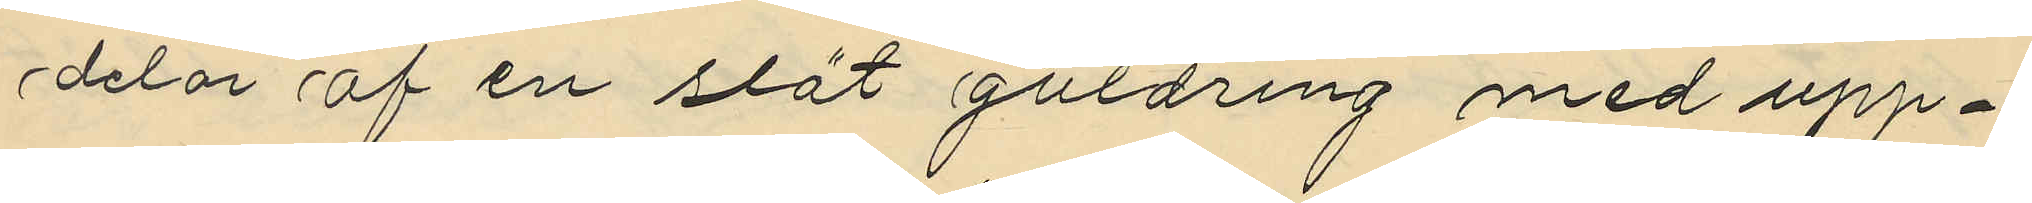delar af en slät guldring med upp¬
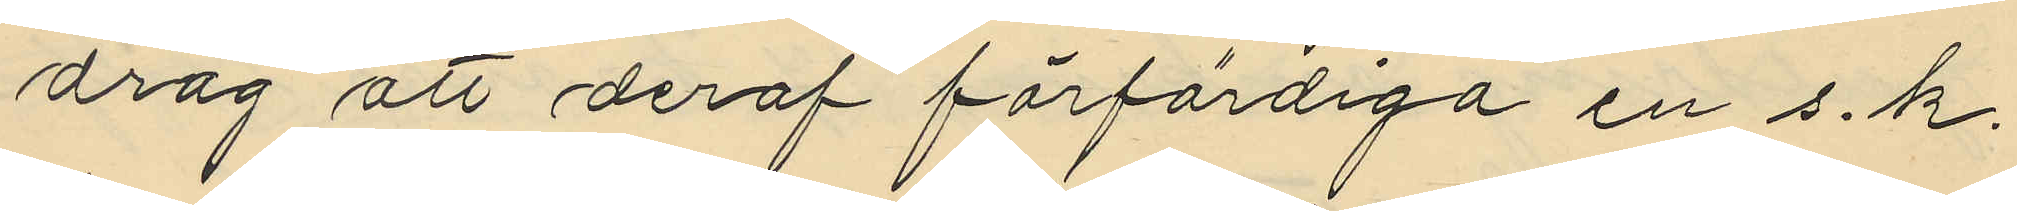drag att deraf förfärdiga en s.k.
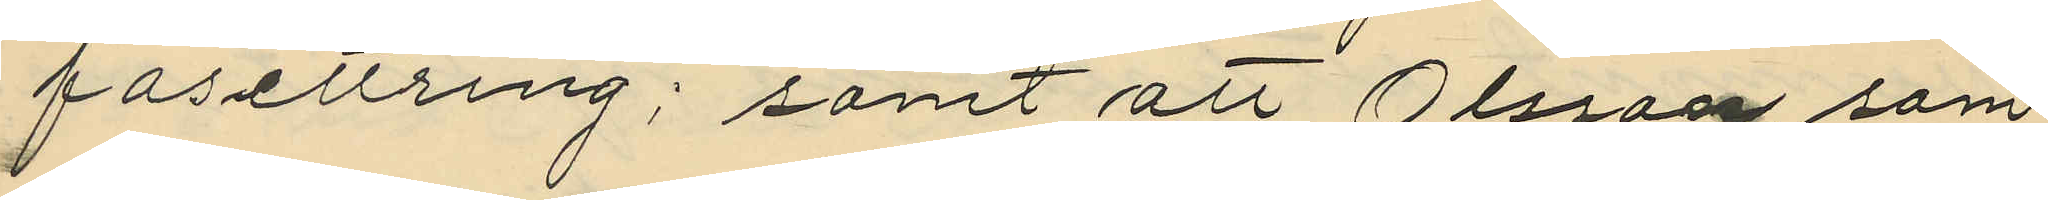fasettring; samt att Olsson, som
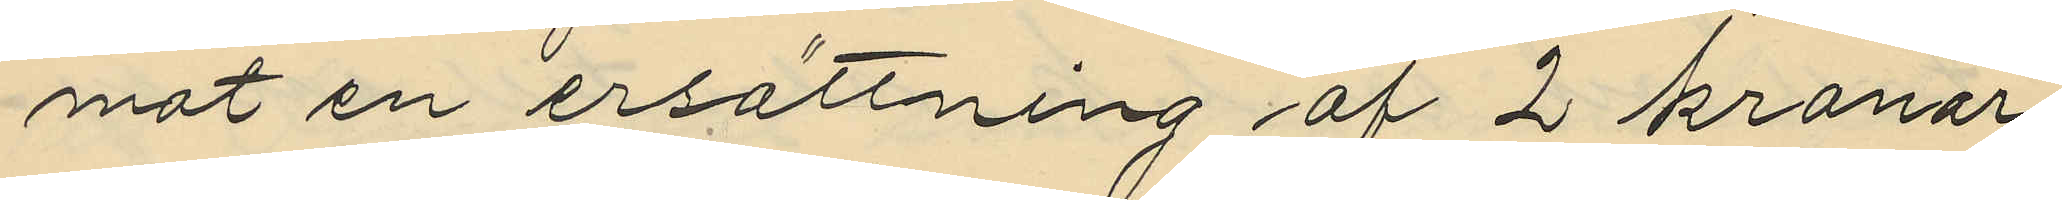mot en ersättning af 2 kronor
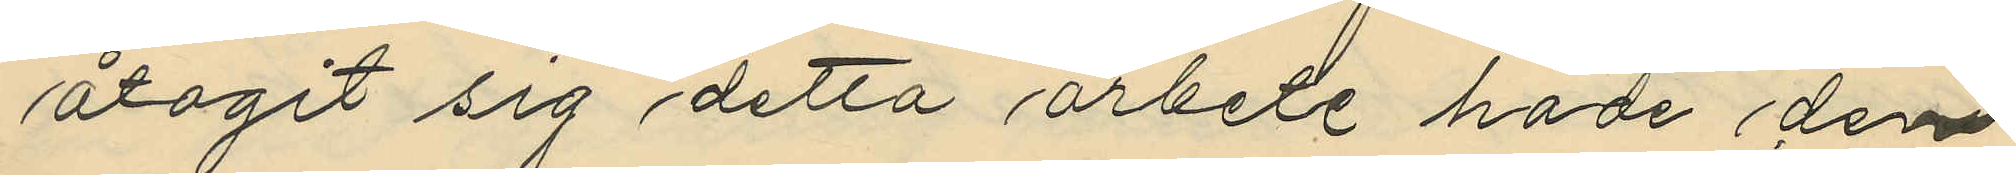åtagit sig detta arbete hade den
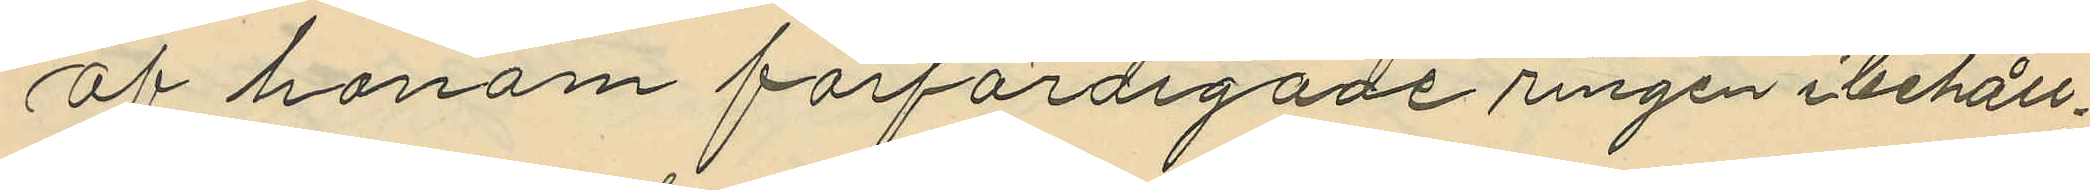af honom förfärdigade ringen i behåll
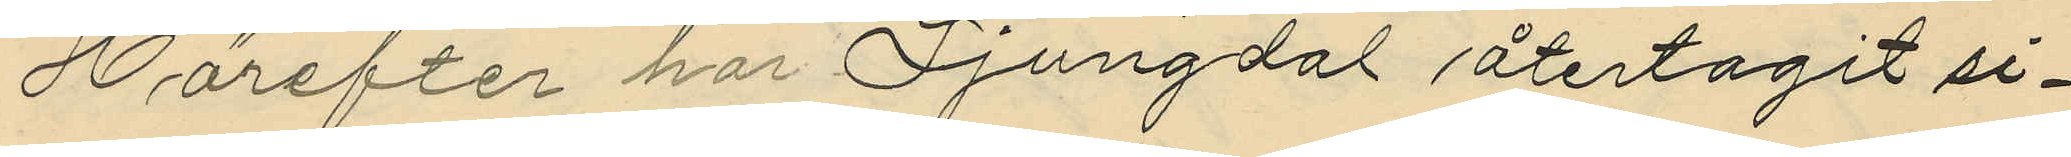Härefter har Ljungdal återtagit si¬
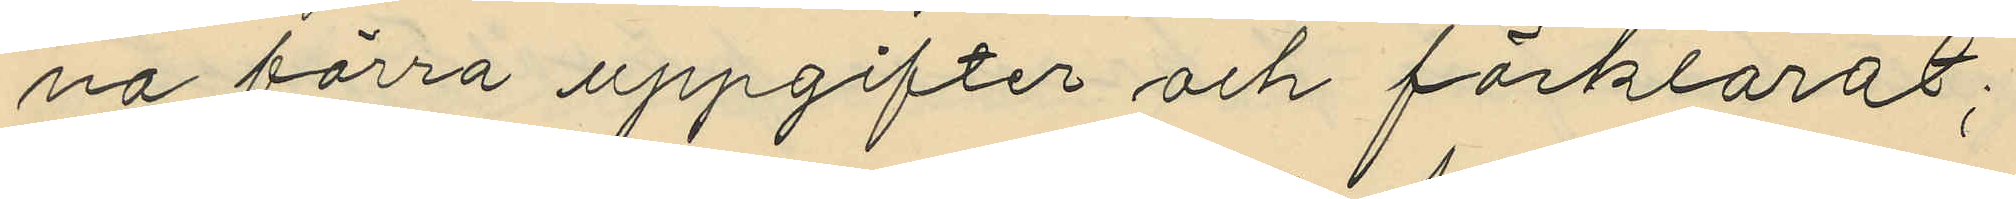na förra uppgifter och förklarat;
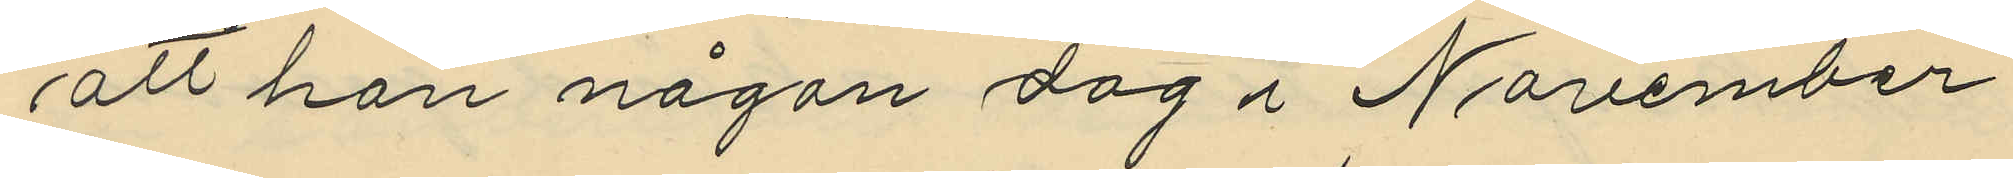att han någon dag i November
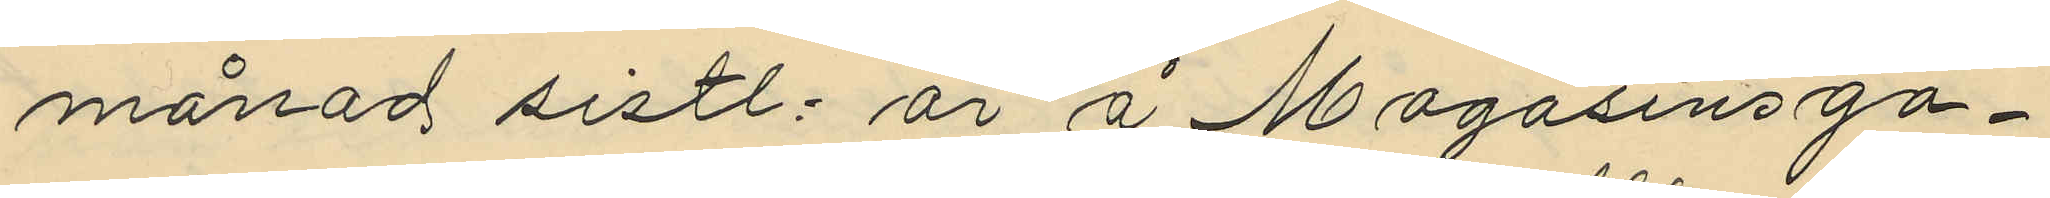månad sistl. år å Magasinsga¬
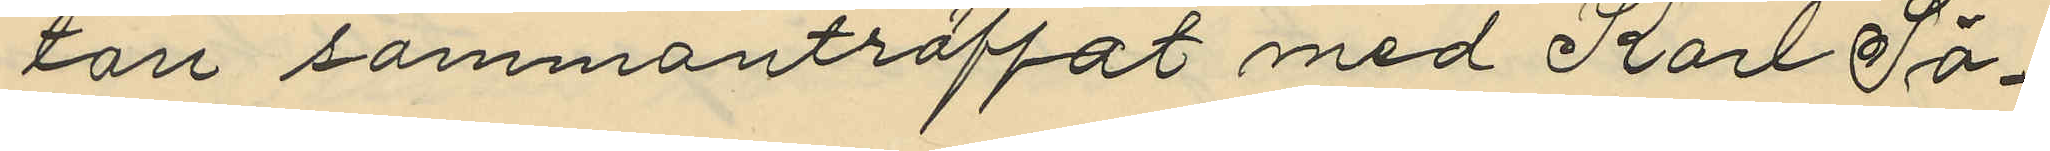tan sammanträffat med Karl Sö¬
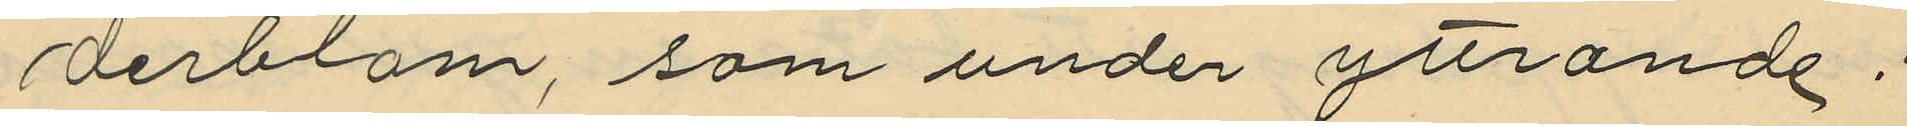derblom, som under yttrande:
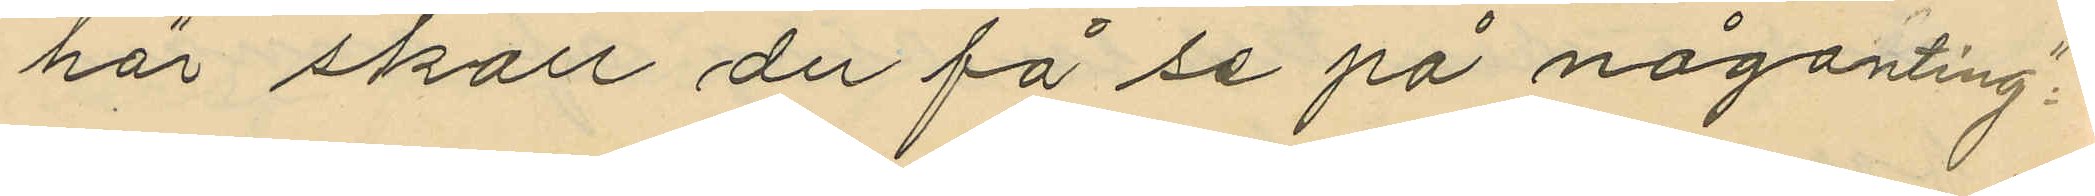"här skall du få se på någonting",
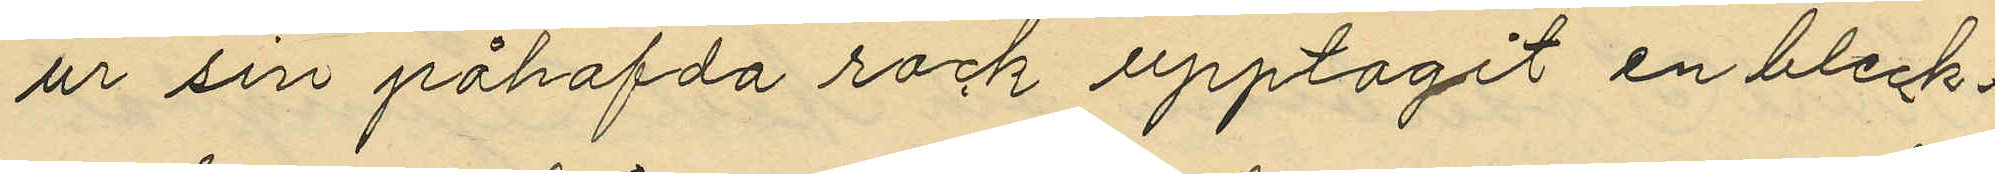ur sin påhafda rock upptagit en bleck¬
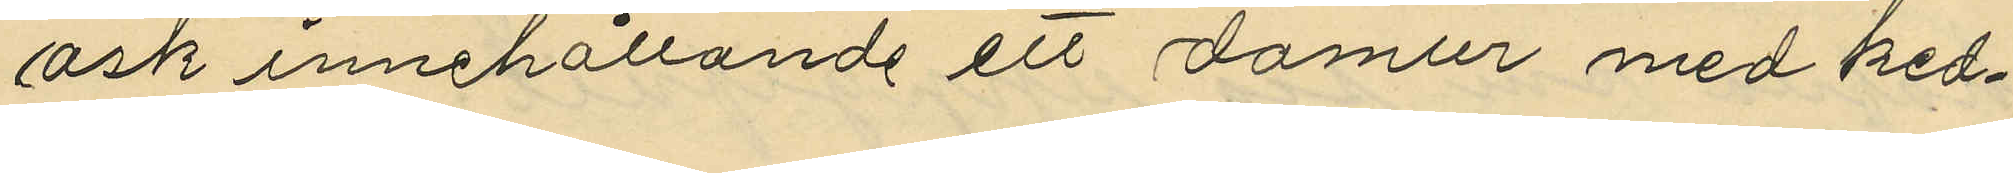ask innehållande ett damur med ked¬
